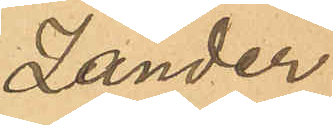Zander.
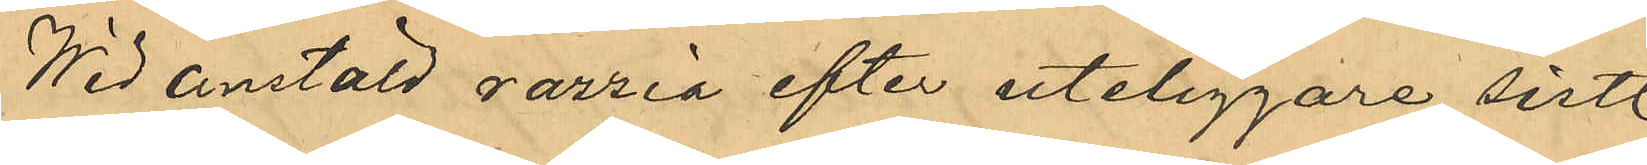Wid anstäld razzia efter uteliggare sistl
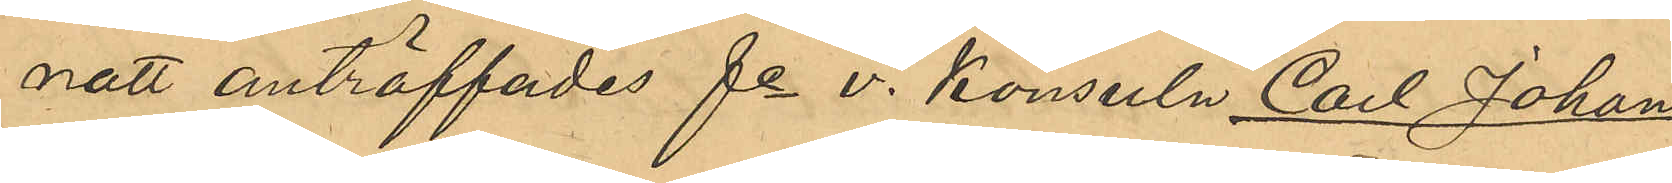natt anträffades fe v. konsuln Carl Johan
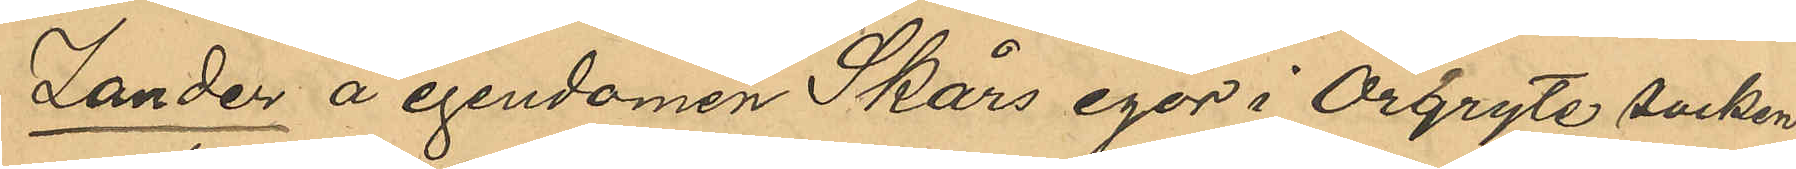Zander å egendomen Skårs egor i Örgryte socken.
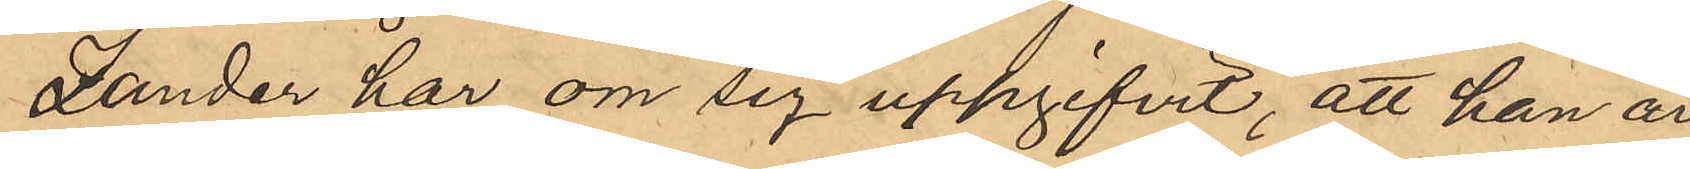Zander har om sig uppgifvit; att han är
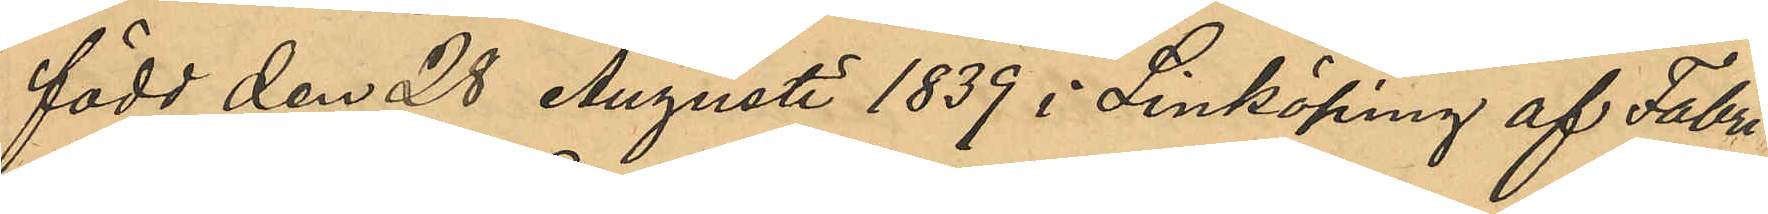född den 28 Augusti 1839 i Linköping af Fabri¬
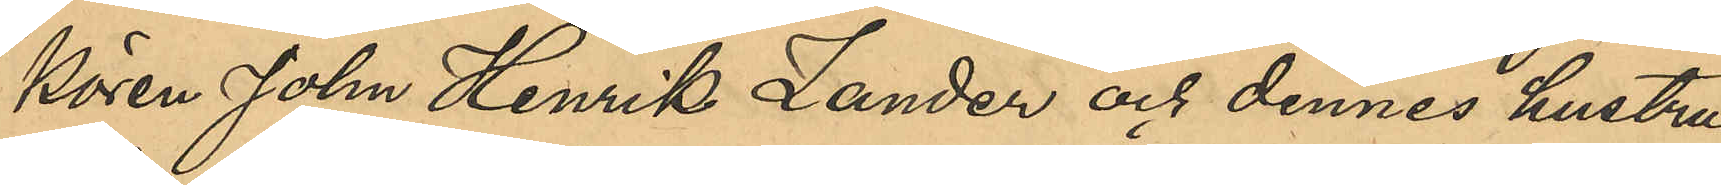kören John Henrik Zander och dennes hustru
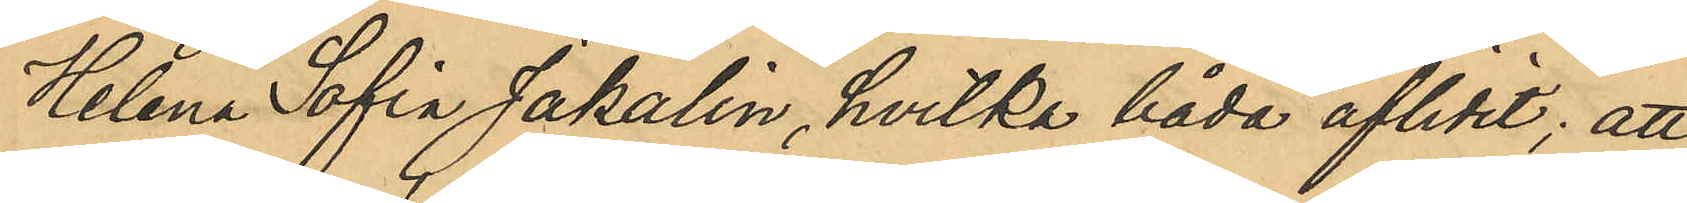Helena Sofia Jakalin, hvilka båda aflidit; att
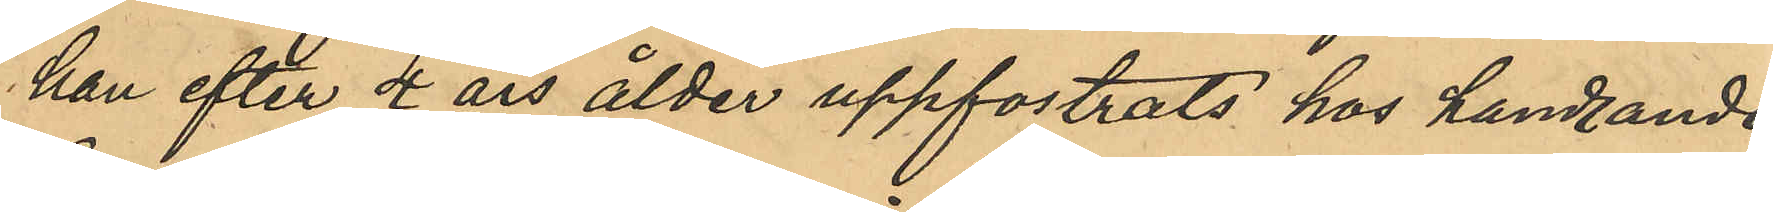han efter 4 års ålder uppfostrats hos handlanden
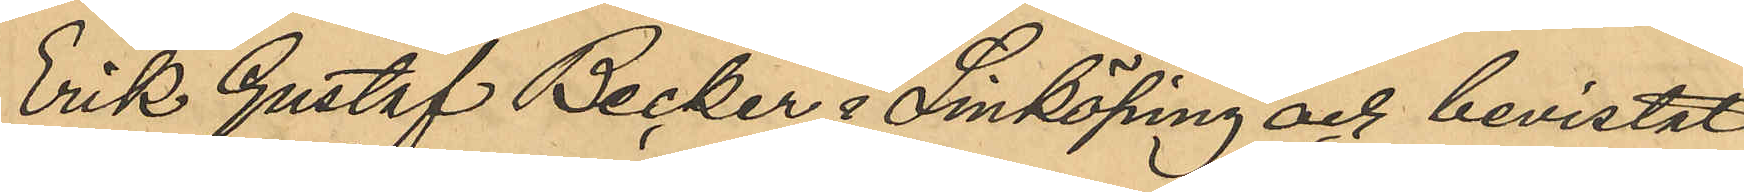Erik Gustaf Becker i Linköping och bevistat
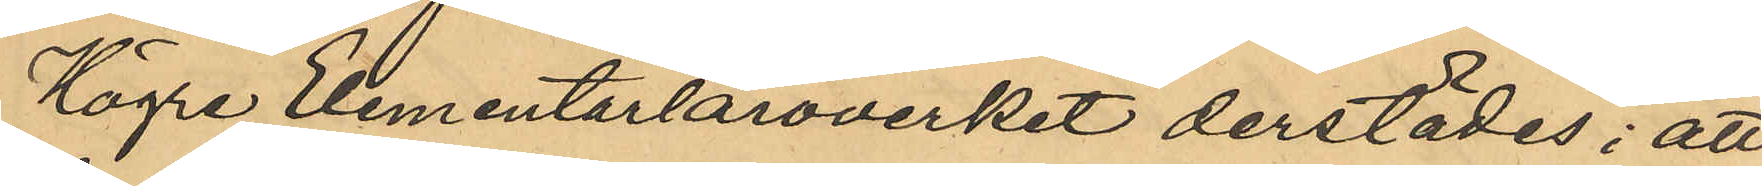Högre Elementarläroverket derstädes; att
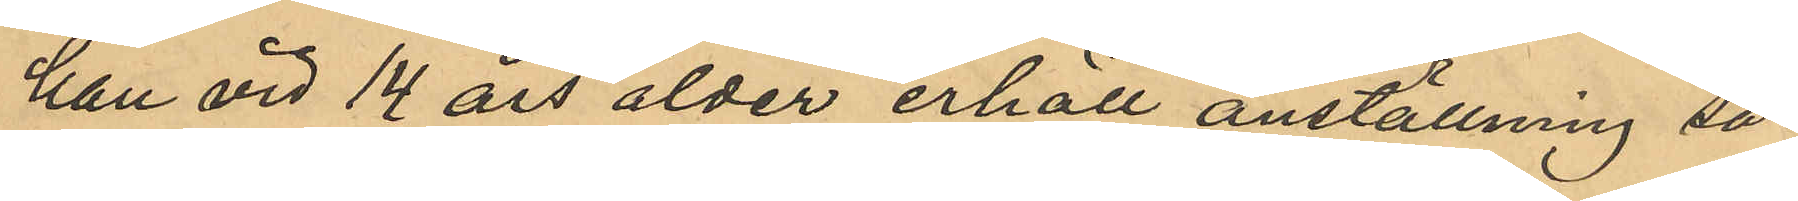han vid 14 års ålder erhöll anställning så¬
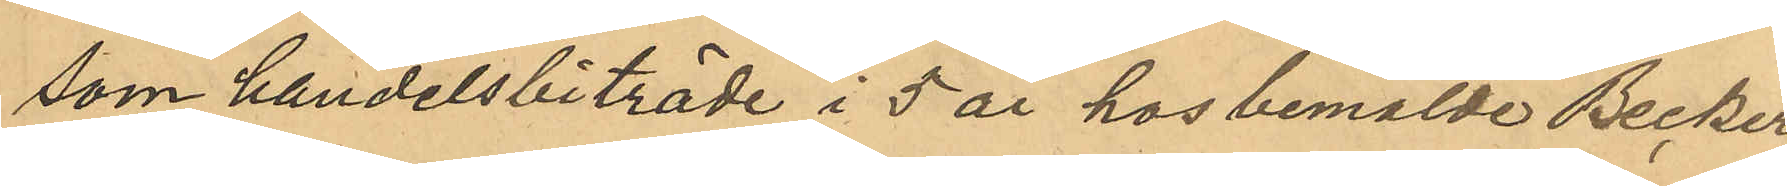som handelsbiträde i 5 år hos bemälde Becker;
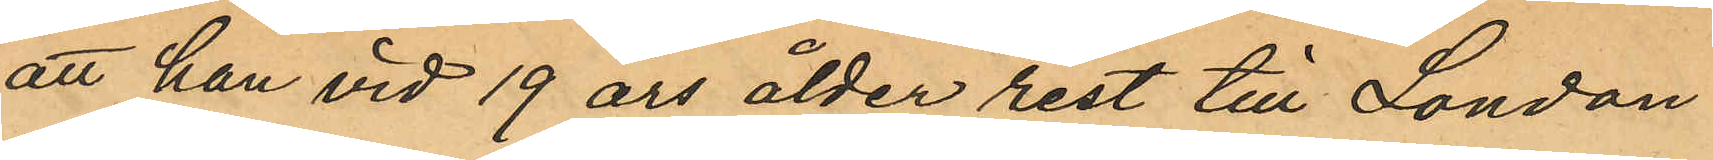att han vid 19 års ålder rest till London
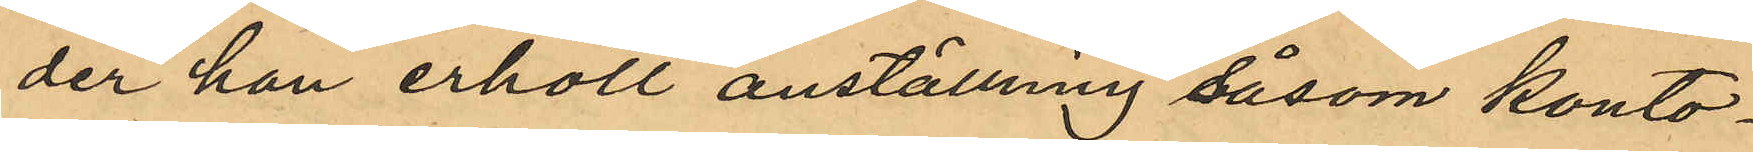der han erhöll anställning såsom konto¬
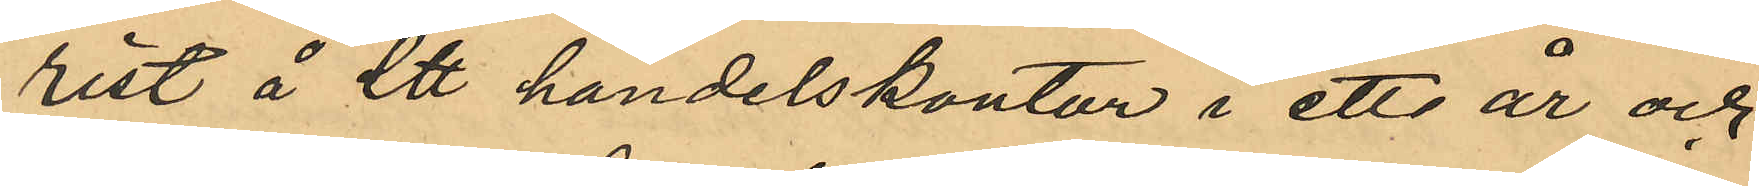rist å ett handelskontor i ett år och
